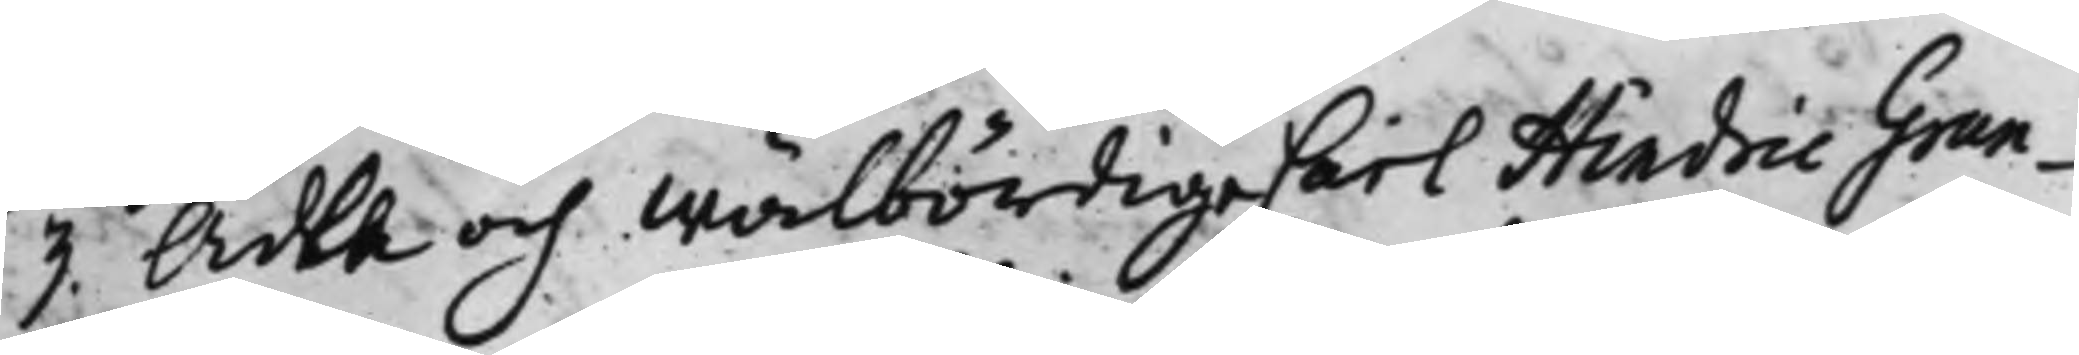3. Ädla och Wälbördige Carl Hindric Grun¬
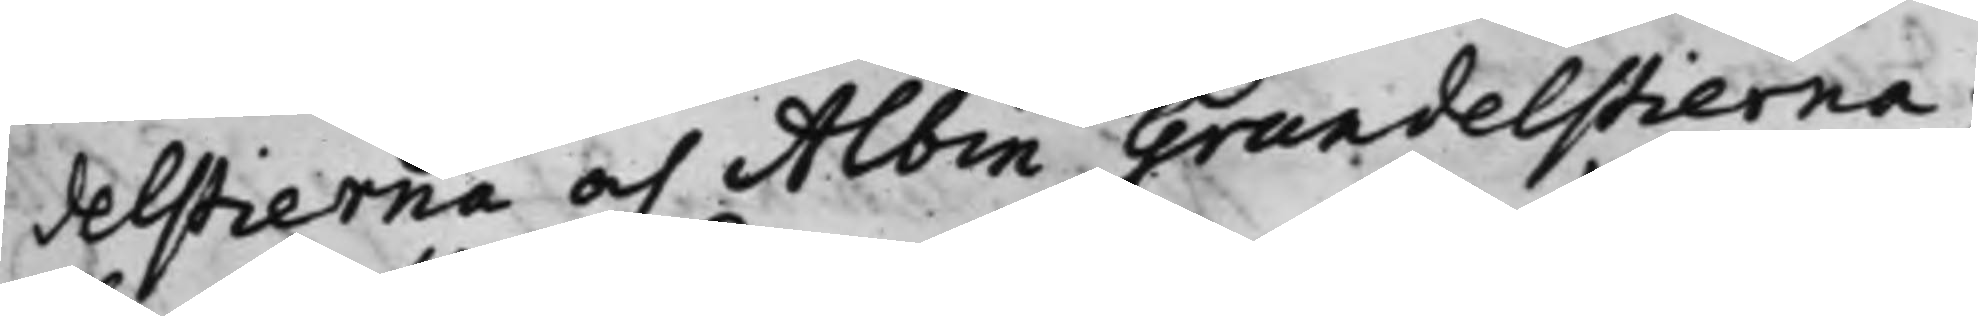delstierna och Albin Grundelstierna;
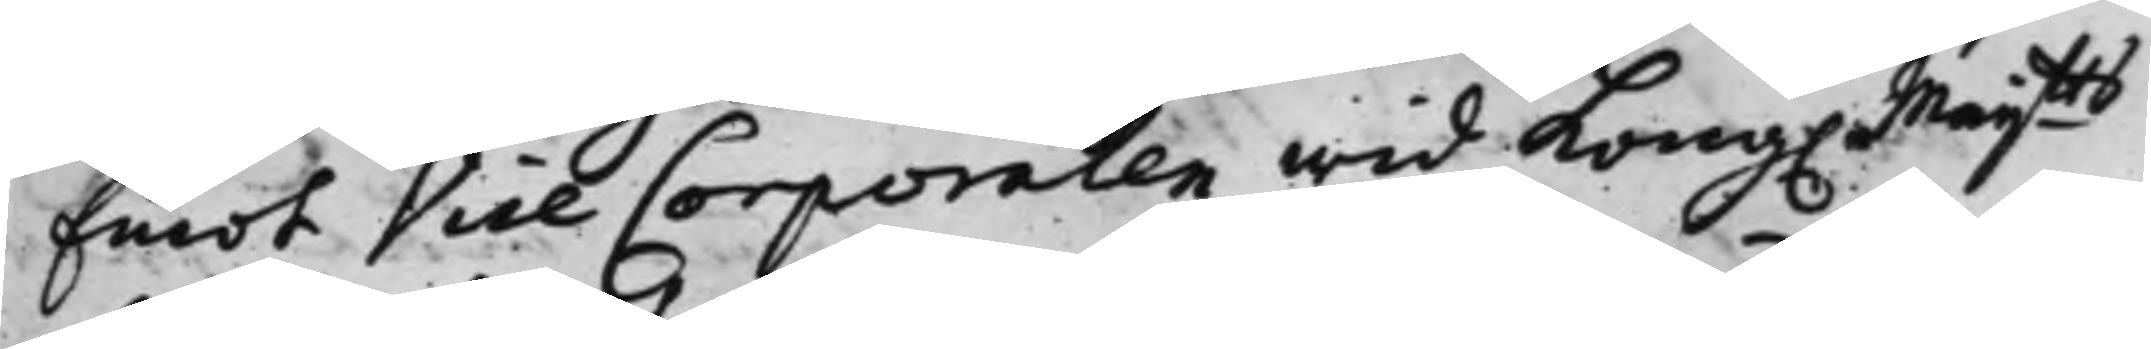Emot Vice Corporalen wid Kong. Maijtts
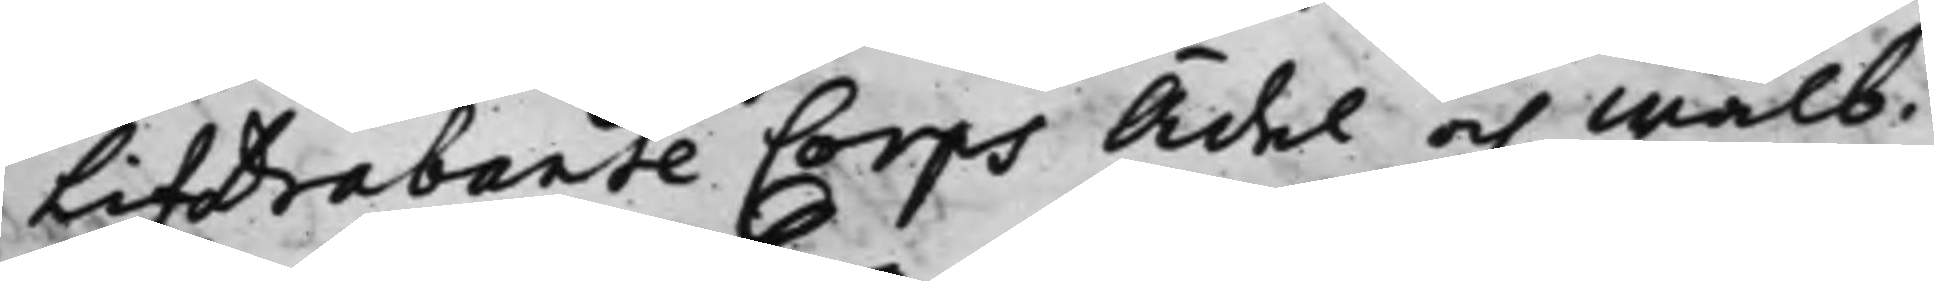LifDrabante Corps Ädel och Wälb.
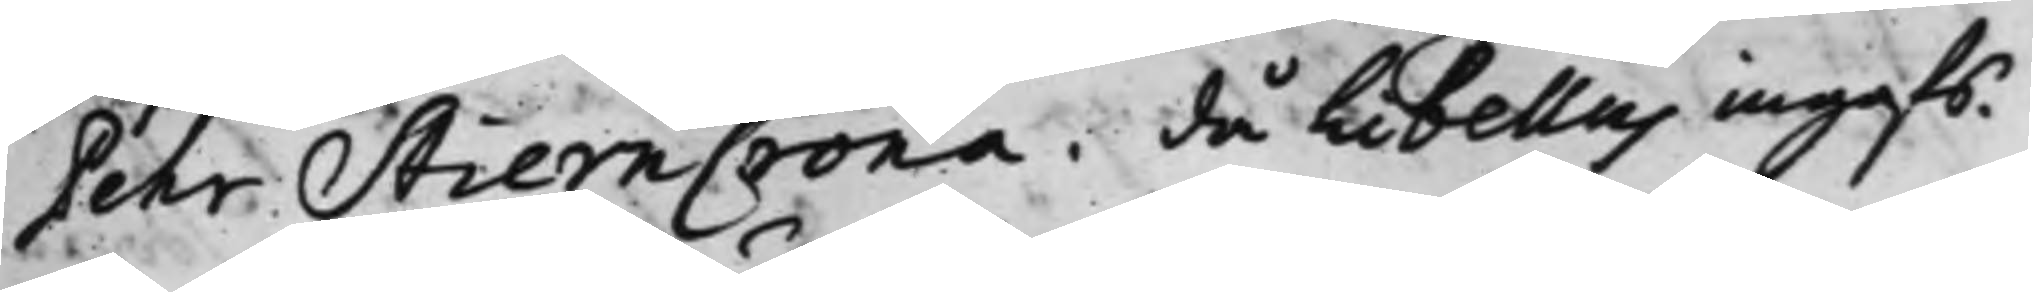Pehr StiernCrona, då Libellus ingafs.
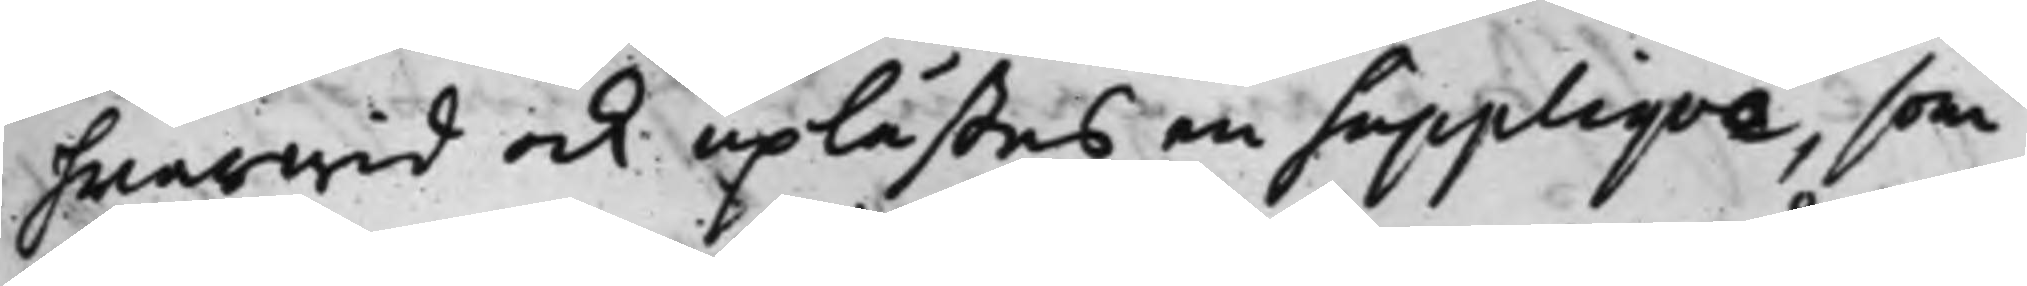hwarwid ock uplästes en Suppliqve, som
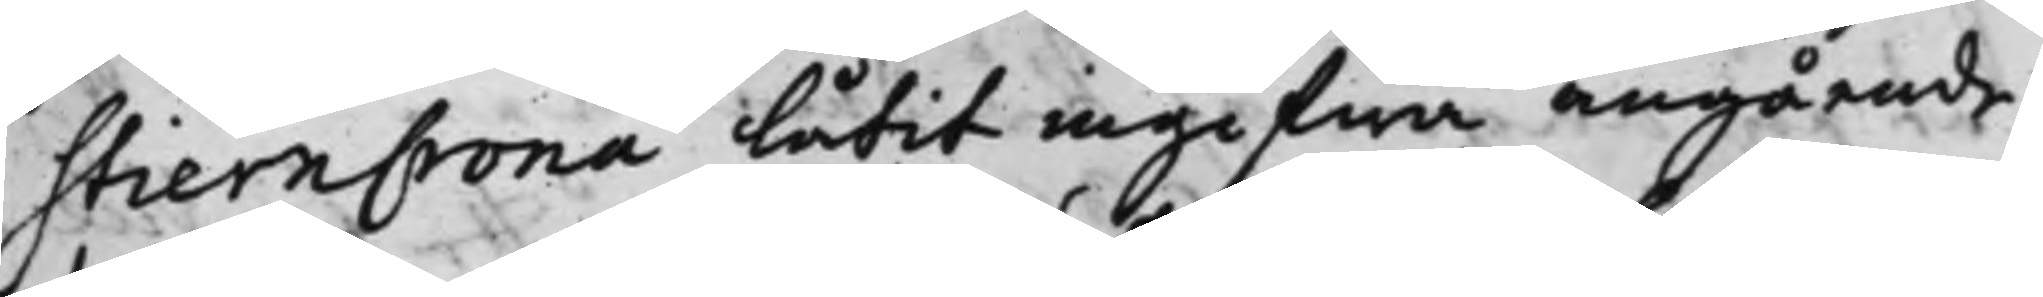StiernCrona låtit ingifwa angående
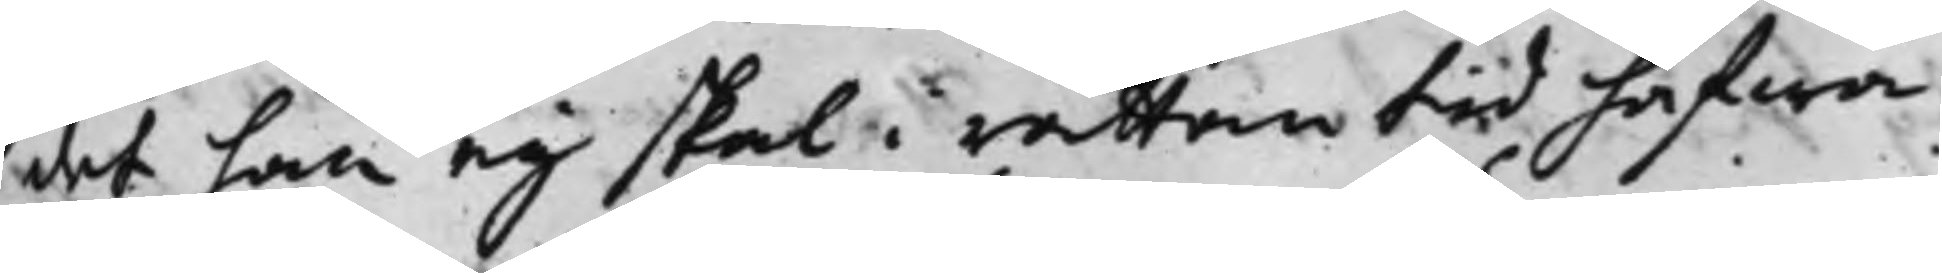det han eij skal i rättan tid hafwa
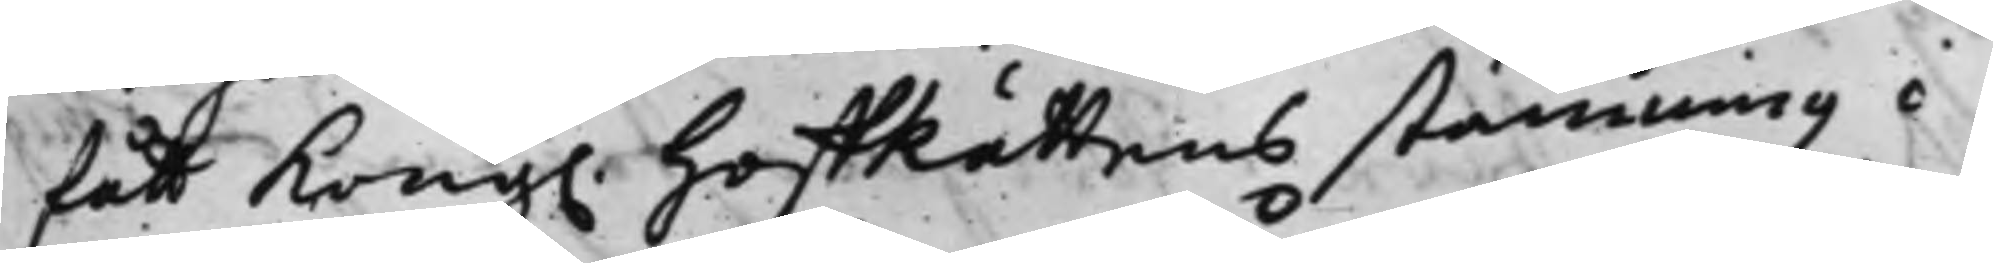fått Kong. HoffRättens stämning i
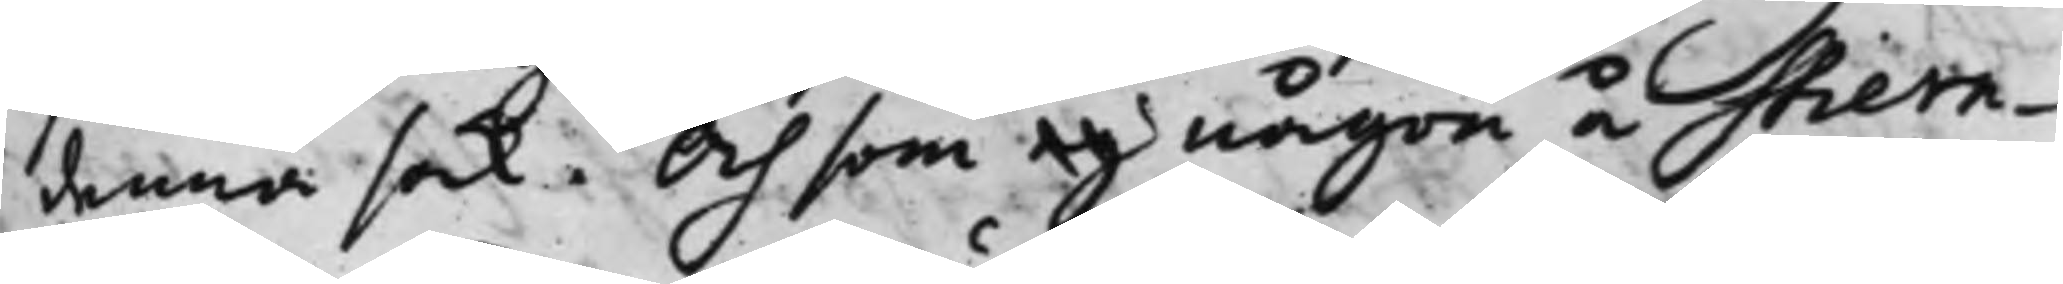denna sak, Och som eij någon å Stiern¬
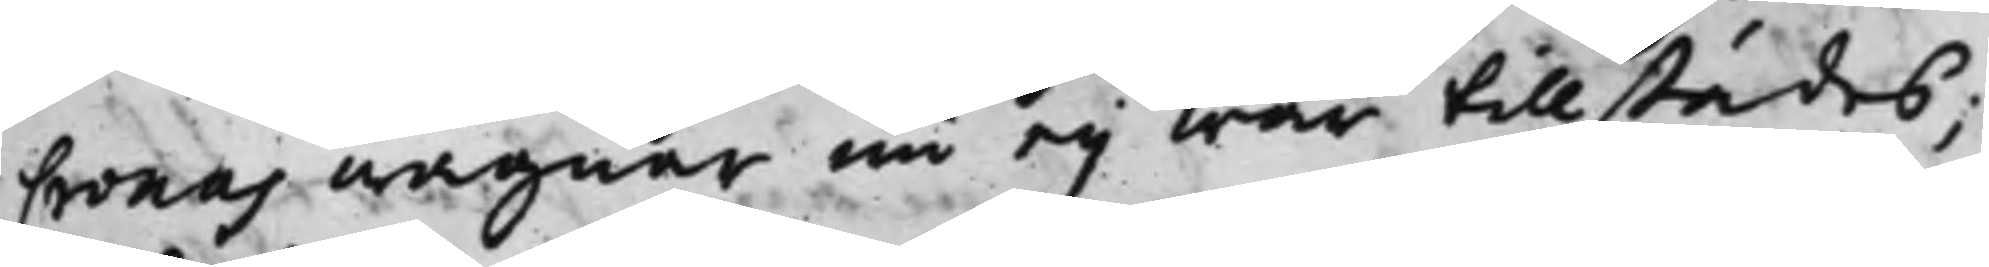Cronas wägnar nu eij war tillstädes;
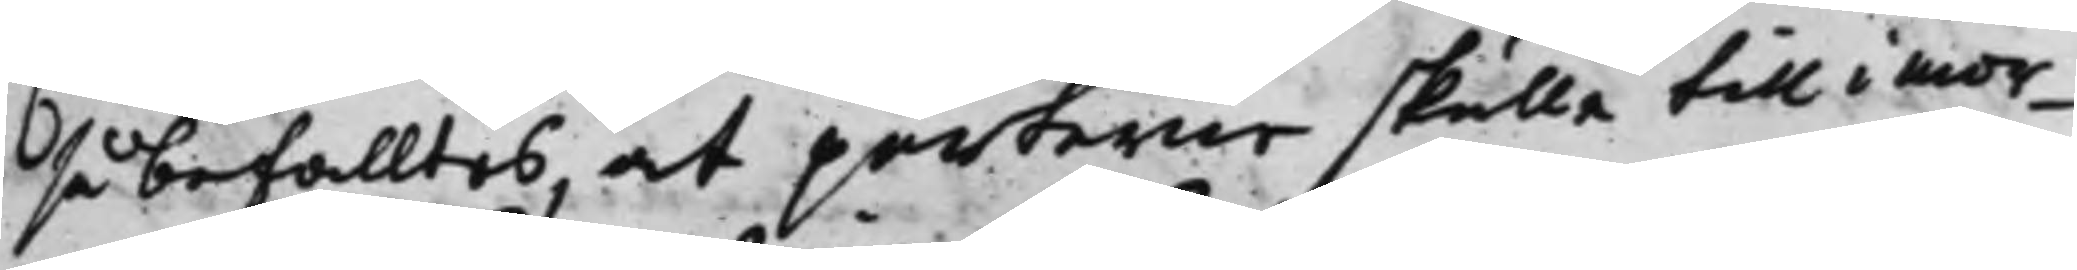så befalltes, at parterne skulle till i mor¬
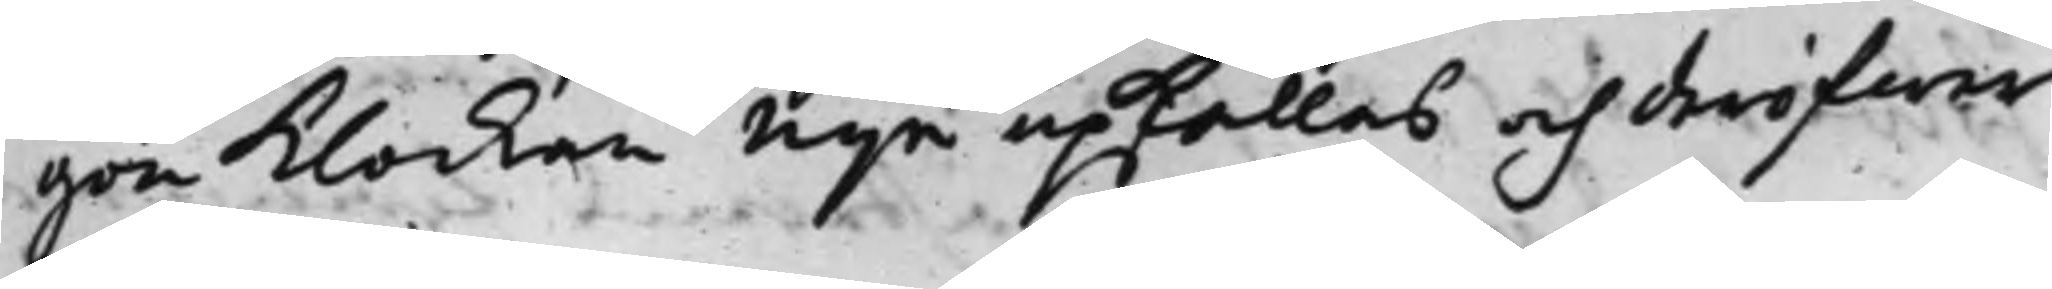gon Klockan nije upkallas och deröfwer
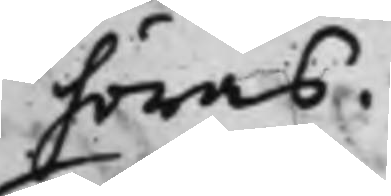höras.
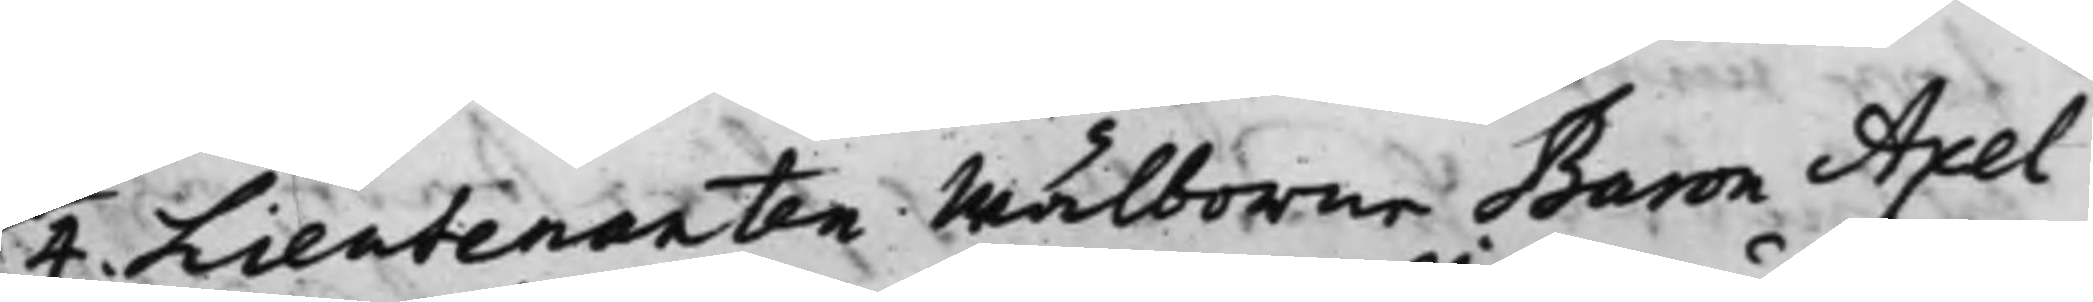4. Lieutenanten Wälborne Baron Axel
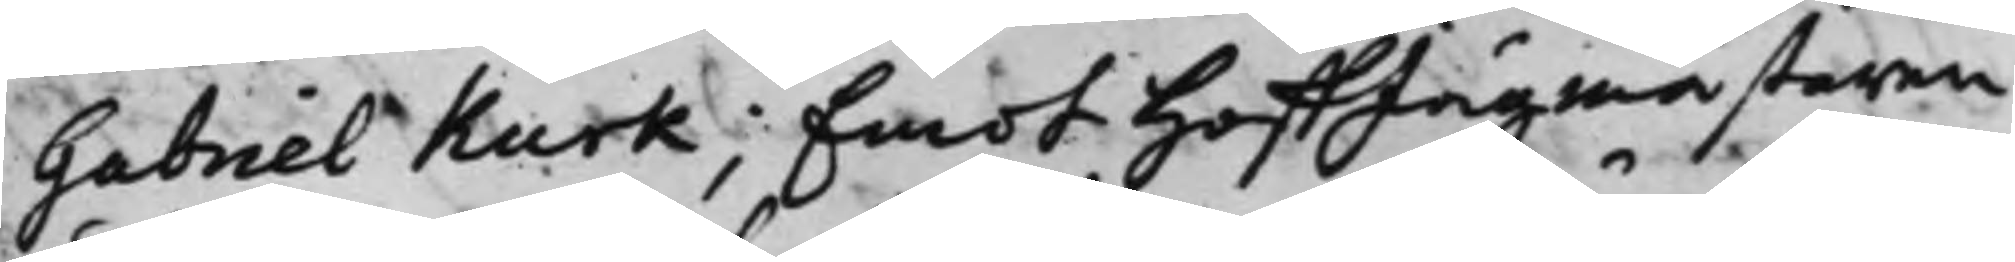Gabriel Kurk; Emot HoffJägmästaren
